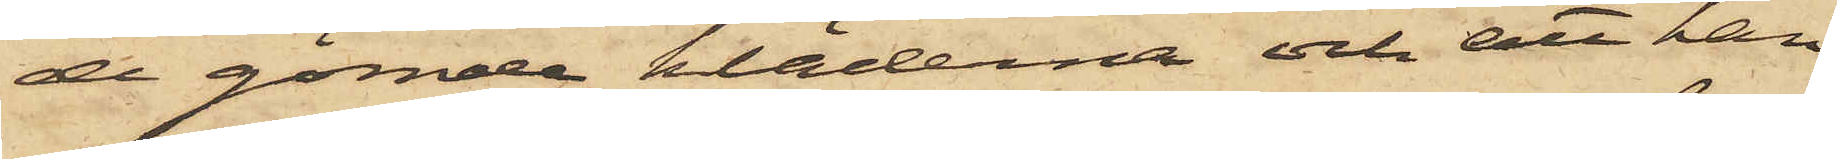de gömde kläderna och att han
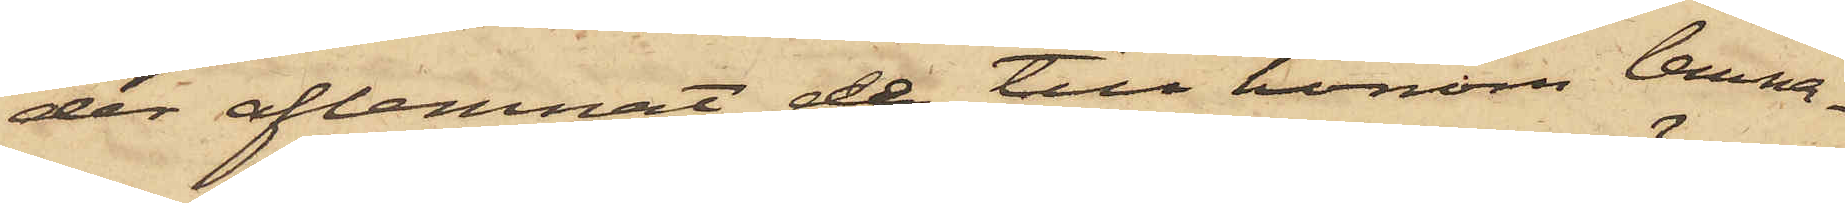der aflemnat de till honom lemna¬
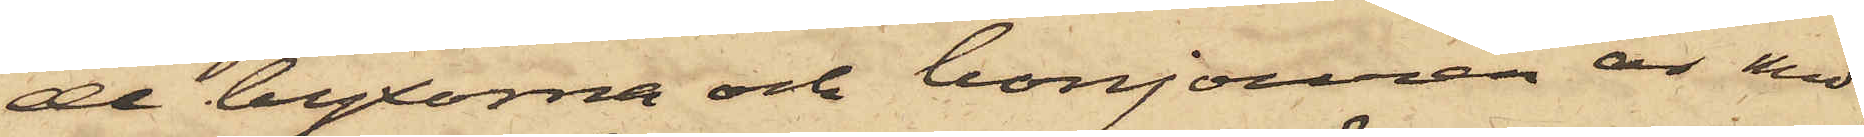de byxorna och bonjouren är med
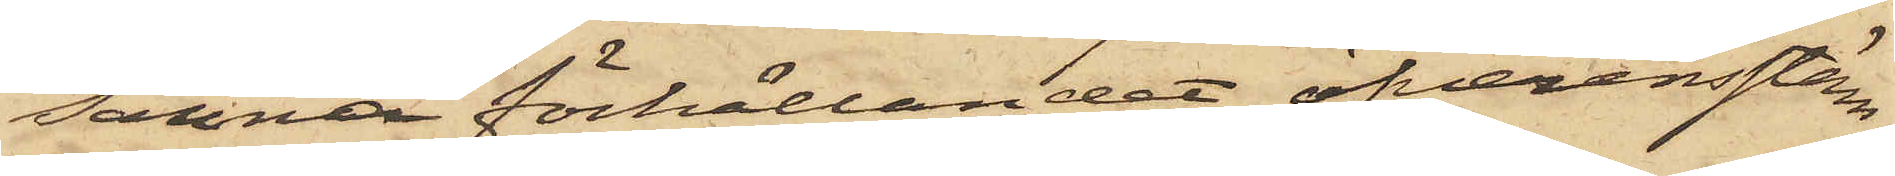sanna förhållandet öfverensstäm¬
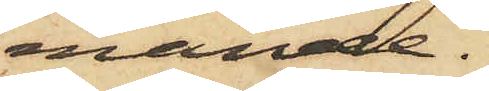mande.
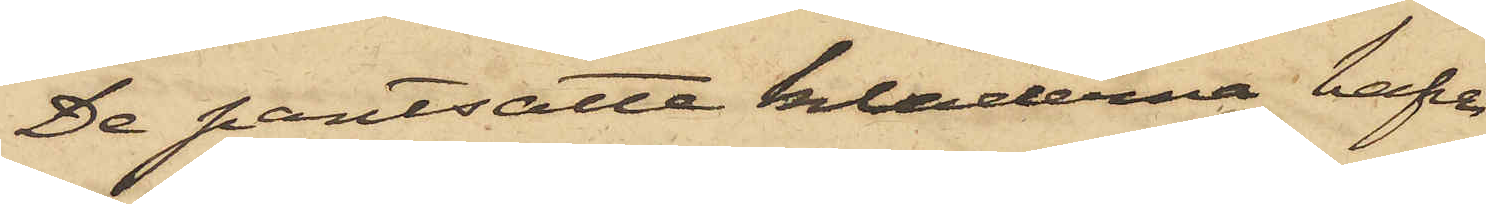De pantsatte kläderna hafva
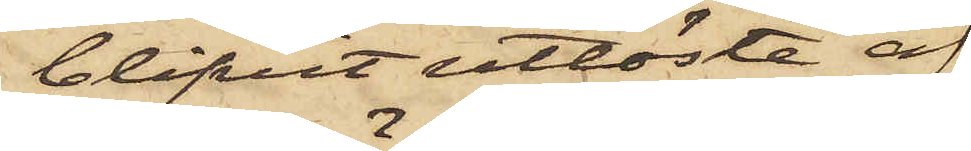blifvit utlöste af
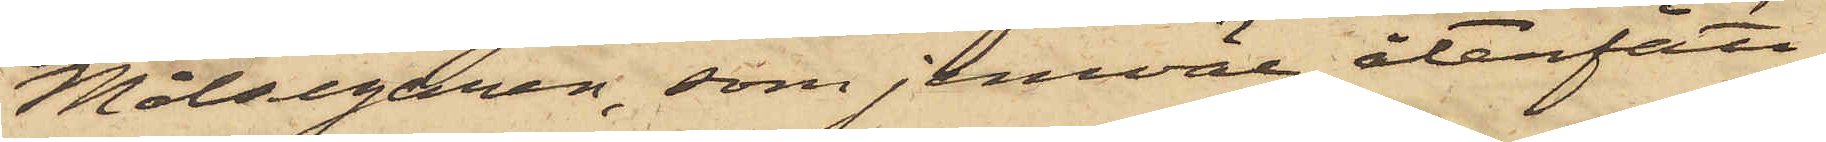Målsegaren, som jemväl återfått
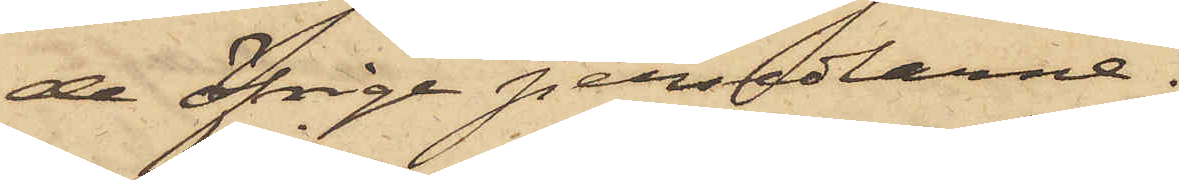de öfrige persedlarne.
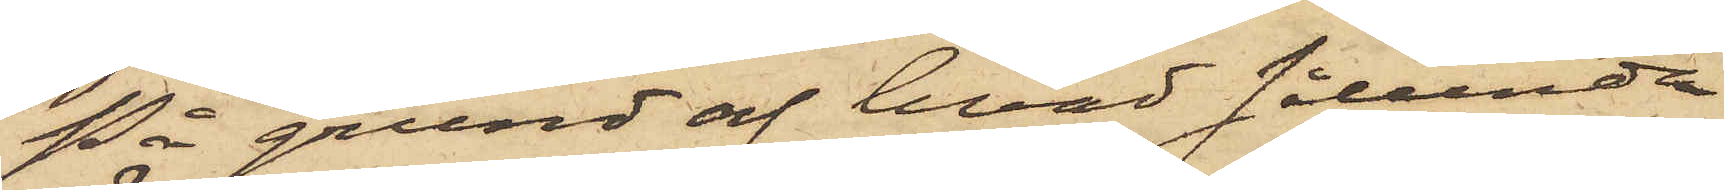På grund af hvad sålunda
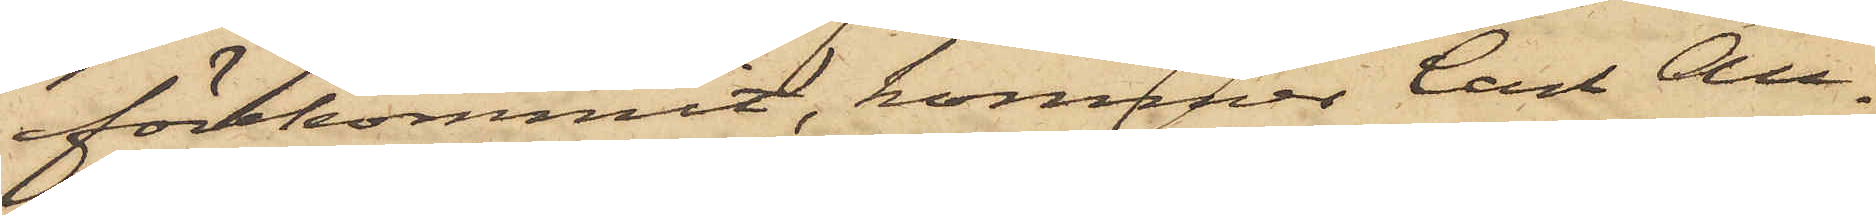förekommit, kommer Carl Au¬
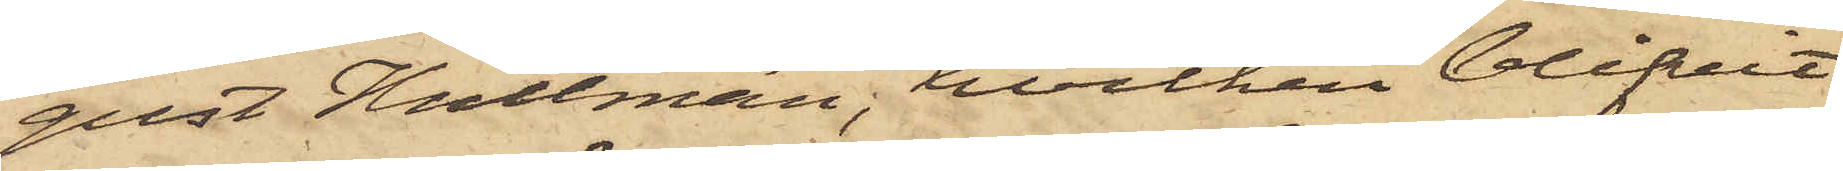gust Hultman, hvilken blifvit
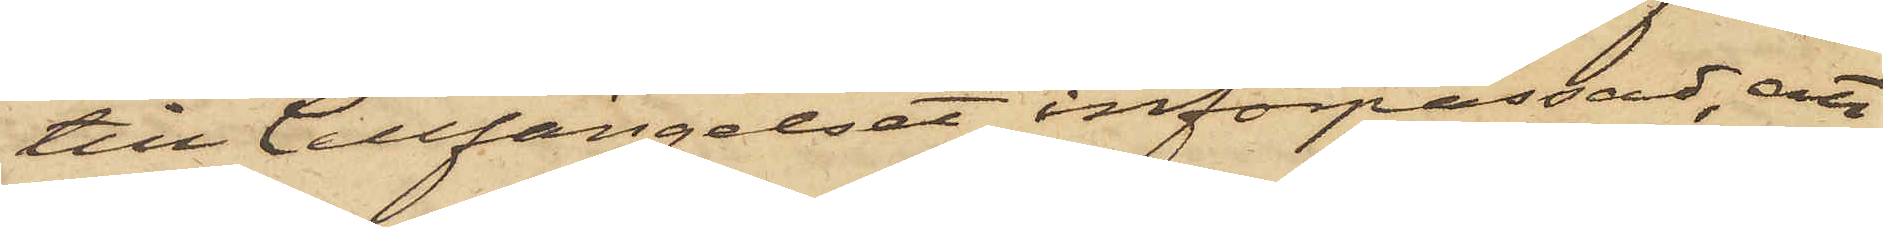till Cellfängelset införpassad, att
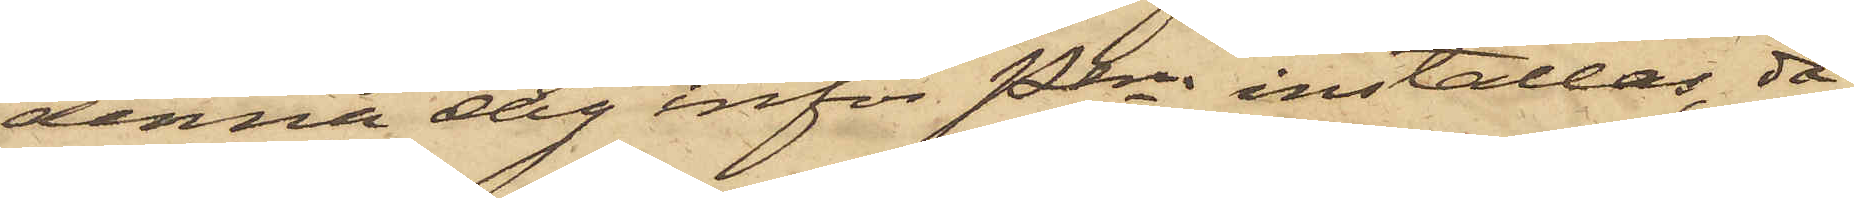denna dag inför PKn inställas, då
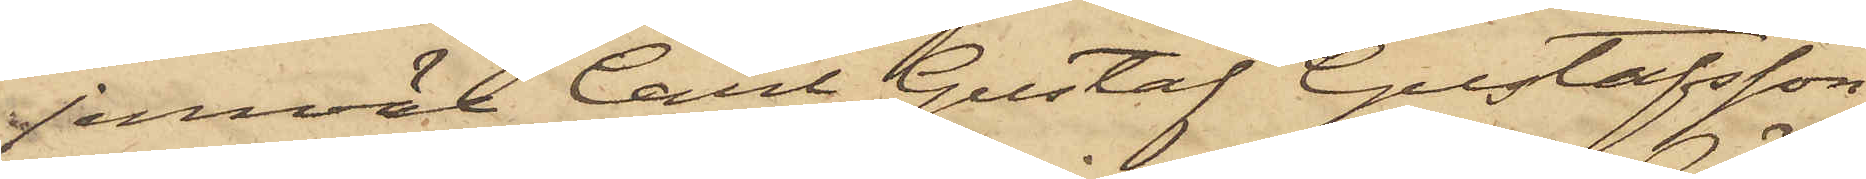jemväl Carl Gustaf Gustafsson
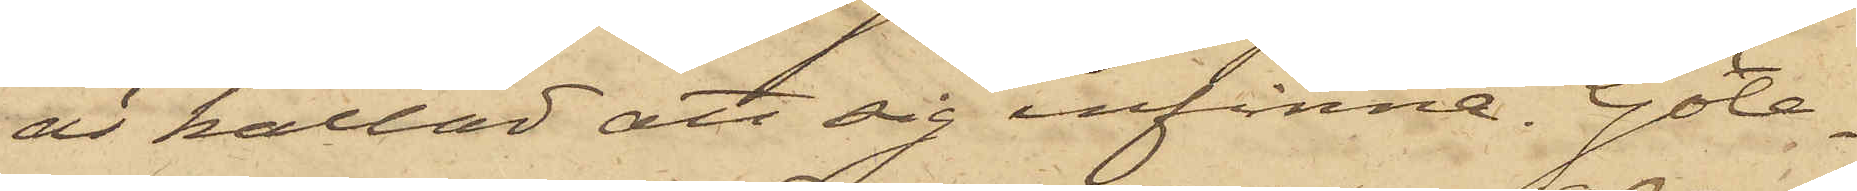är kallad att sig infinna. Göte¬
